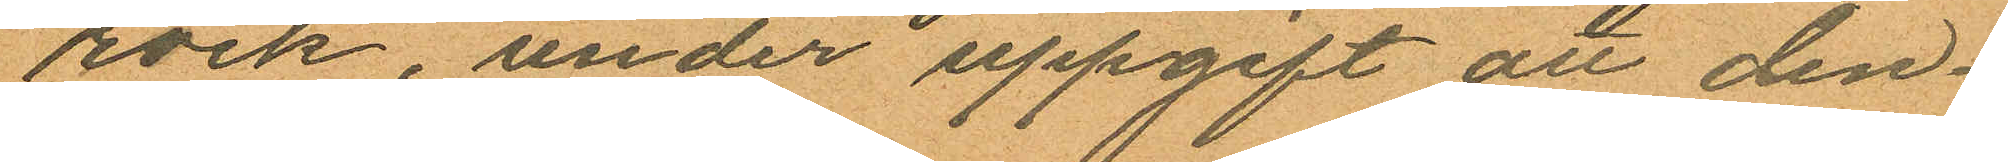rock, under uppgift att den¬
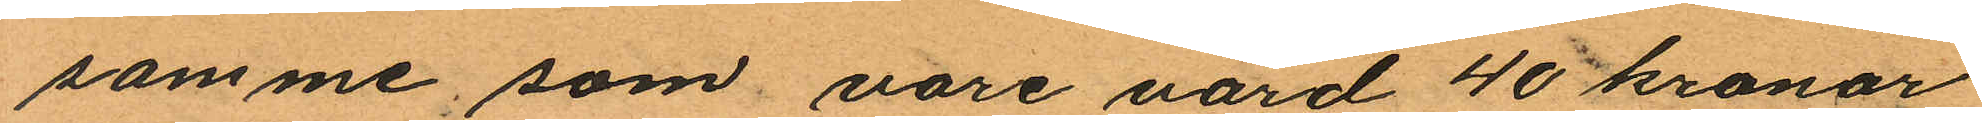samme, som vore värd 40 kronor
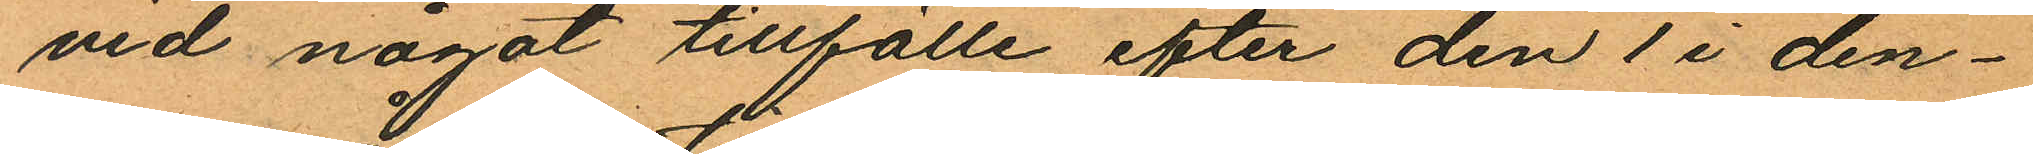vid något tillfälle efter den 1 i den¬
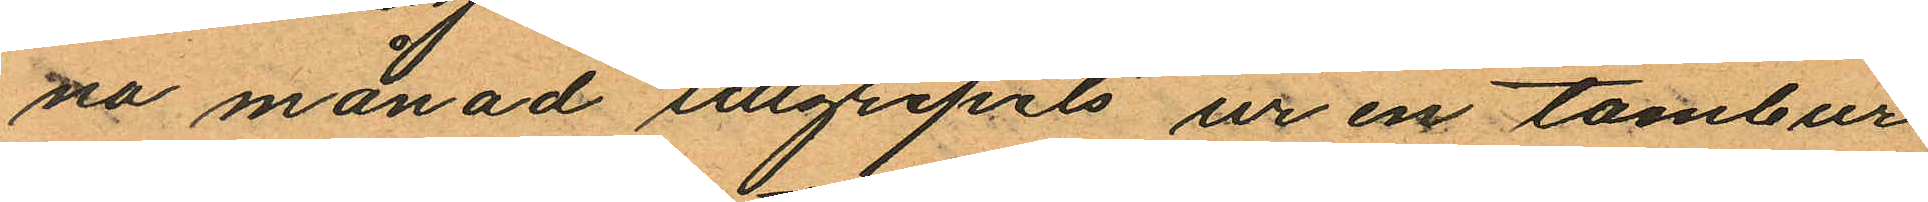na månad tillgripits ur en tambur
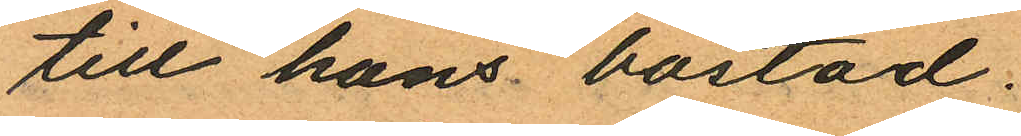till hans bostad.
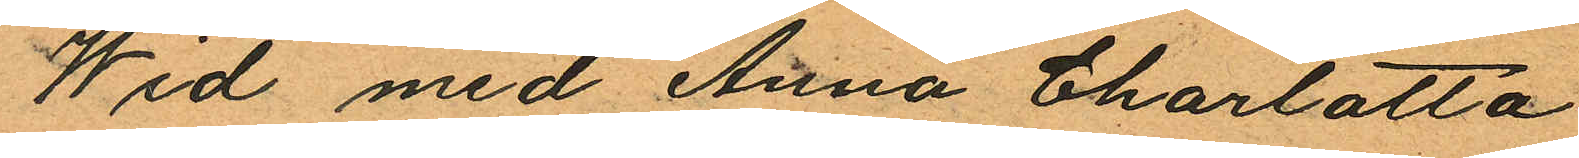Wid med Anna Charlotta
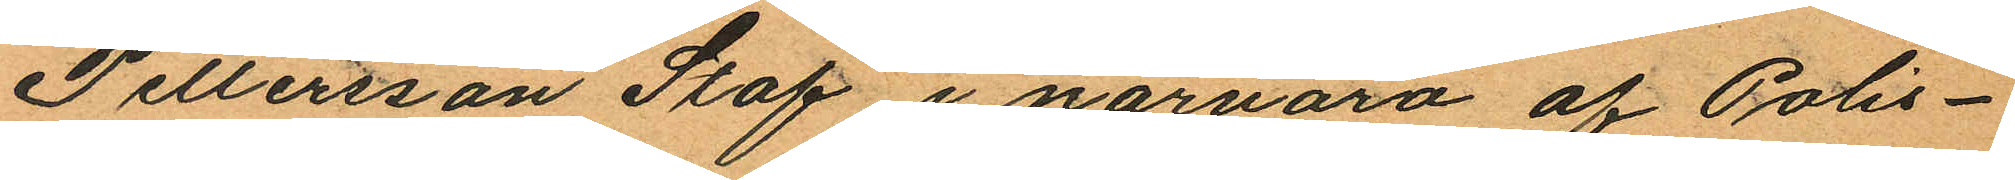Pettersson Staf i närvaro af Polis¬
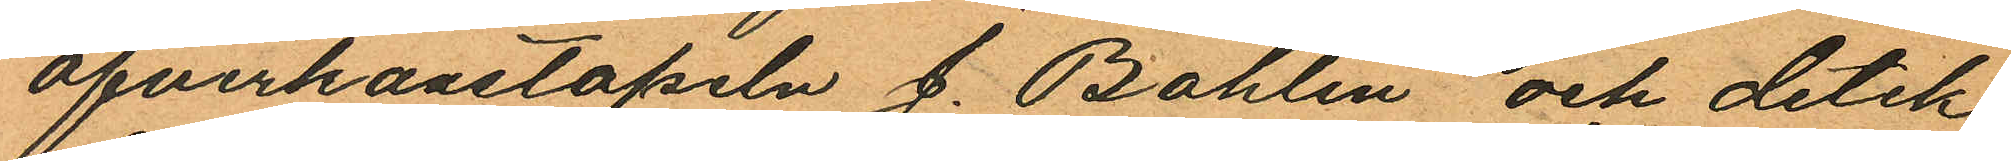öfverkonstapeln J. Bohlin och detek¬
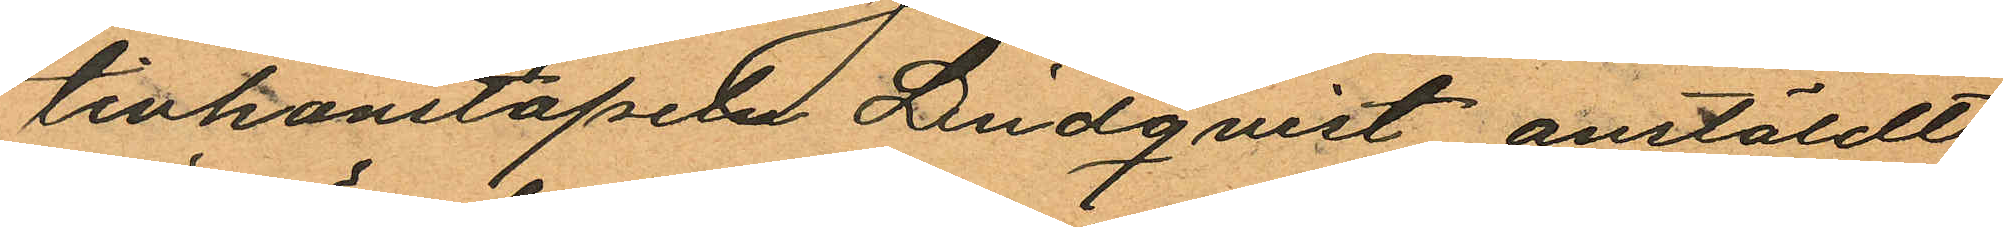tivkonstapeln Lindqvist anstäldt
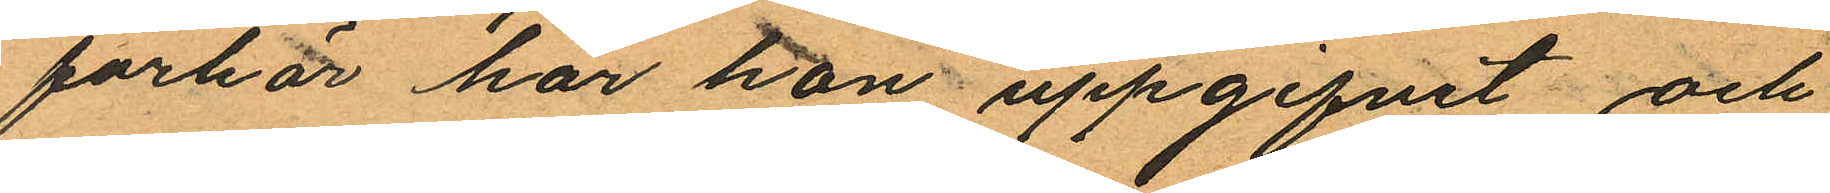förhör har hon uppgifvit och
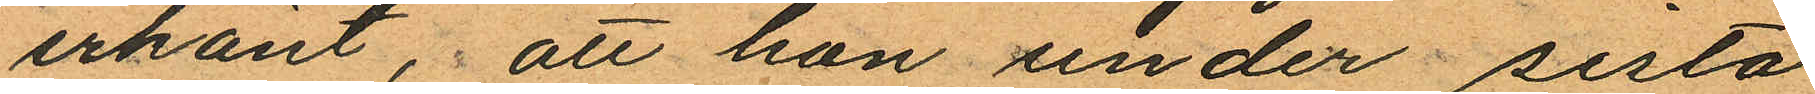erkänt, att hon under sista
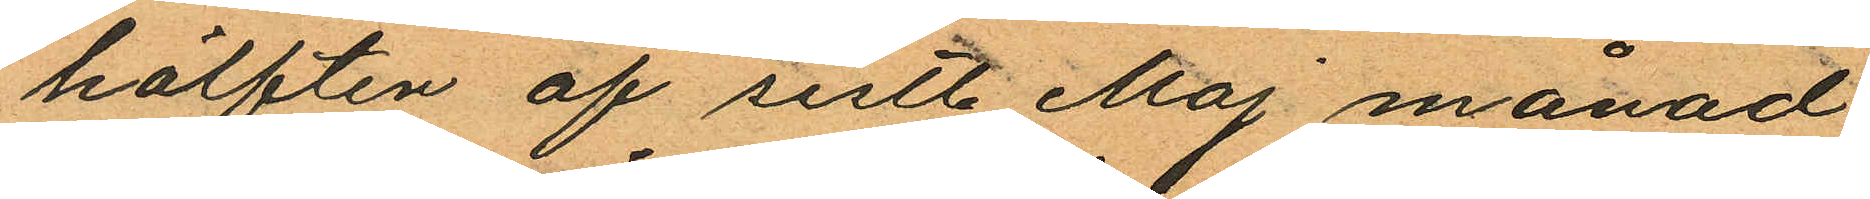hälften af sistl. Maj månad
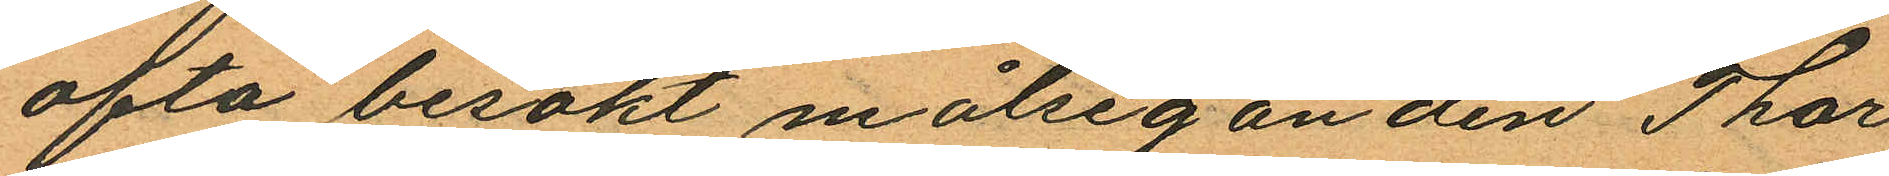ofta besökt målseganden Thor¬
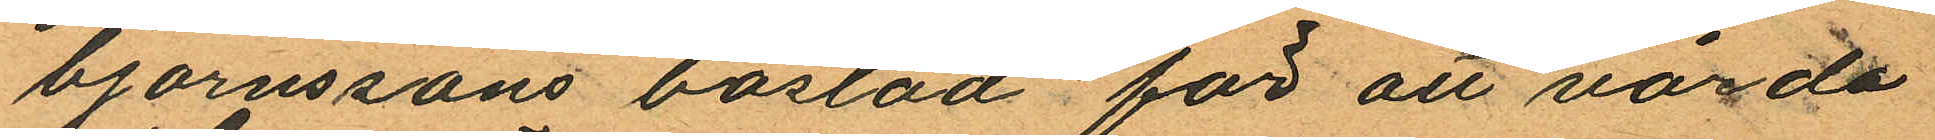björnssons bostad för att vårda
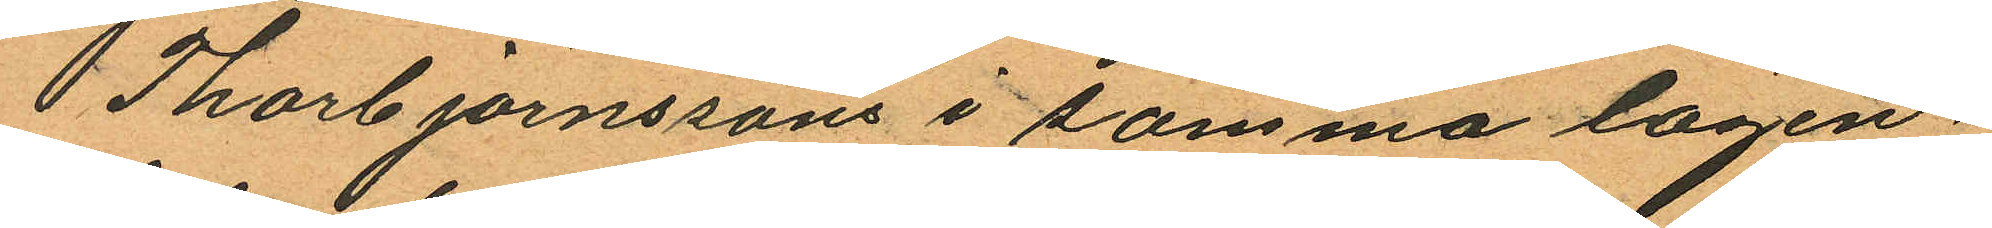Thorbjörnssons i samma lägen¬
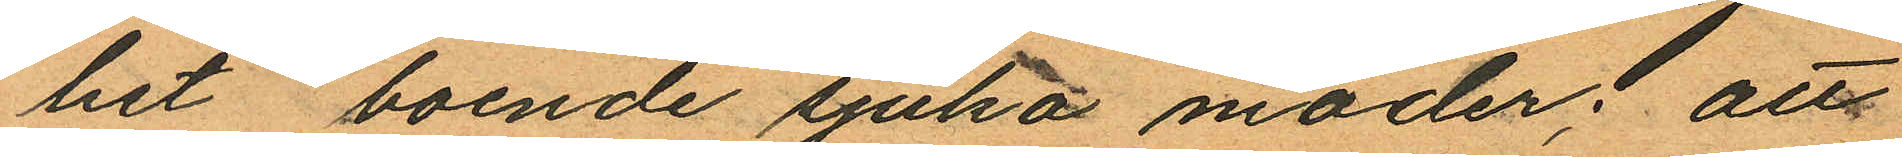het, boende sjuka moder; att
